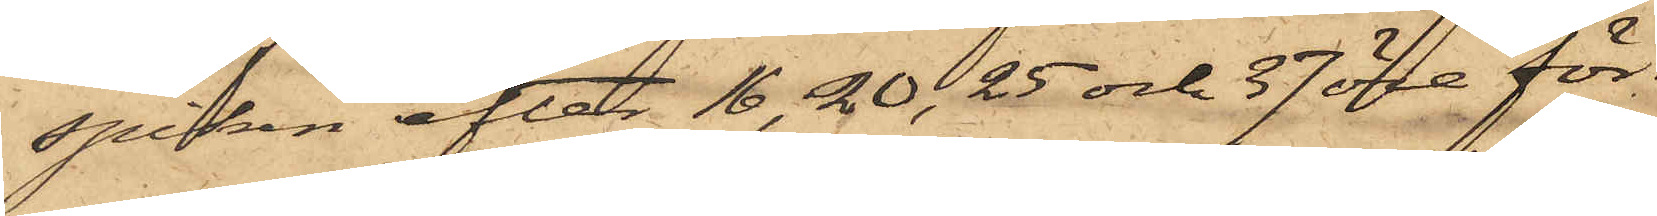spiken efter 16, 20, 25 och 37 öre för
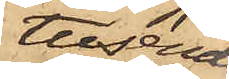tusendet
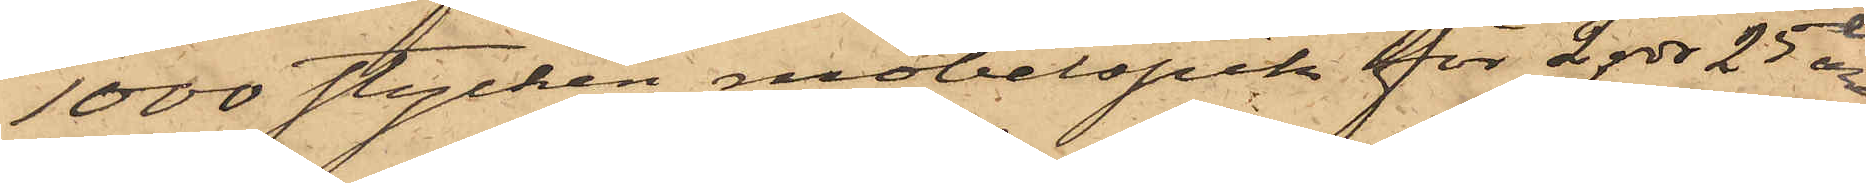1000 stycken möbelspik för 2 rdr 25 öre,
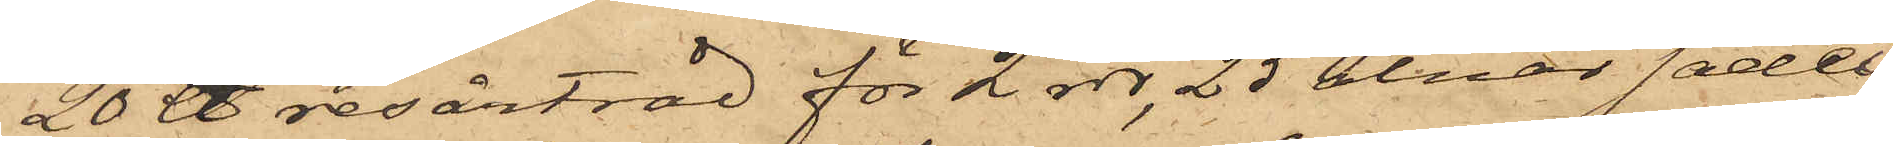20 ℔ resårtråd för 2 rdr, 25 alnar sadel¬
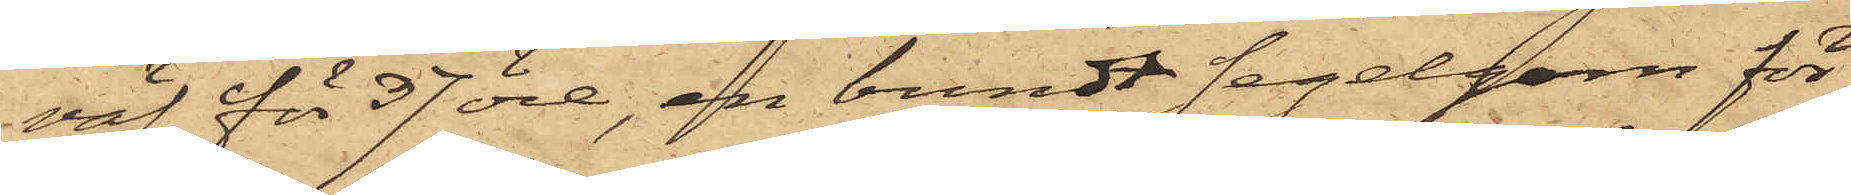väf för 37 öre, en bundt segelgarn för
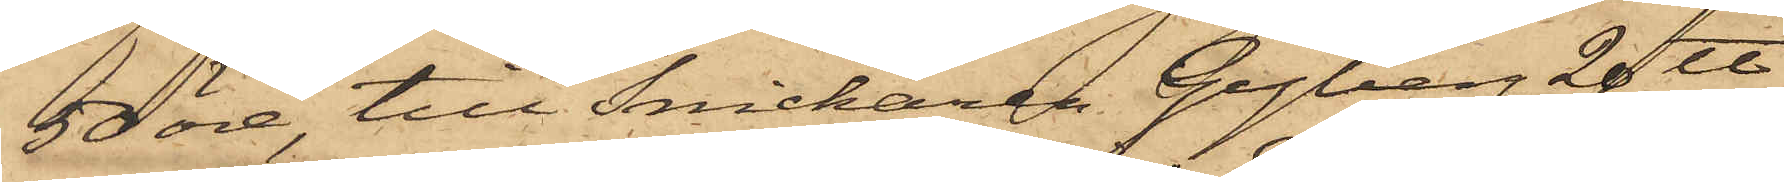50 öre, till Snickaren Gyberg 20 ℔
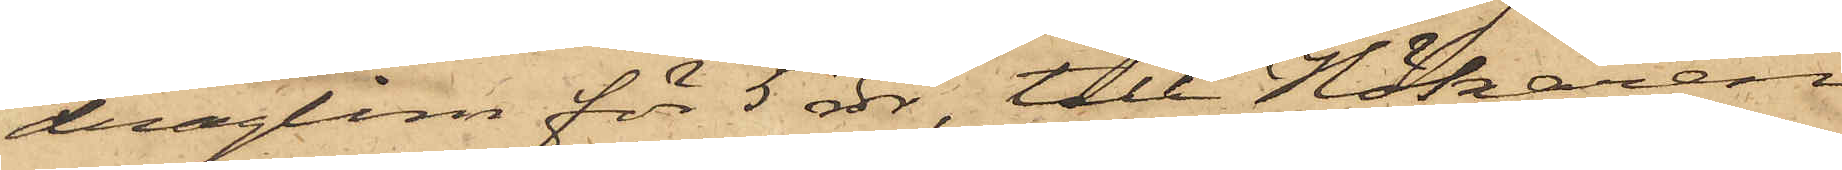draglim för 5 rdr, till Hökaren
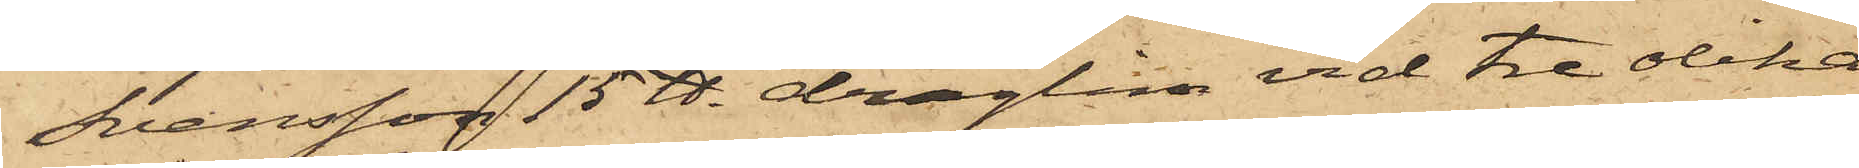Svensson 15 ℔. draglim vid tre olika
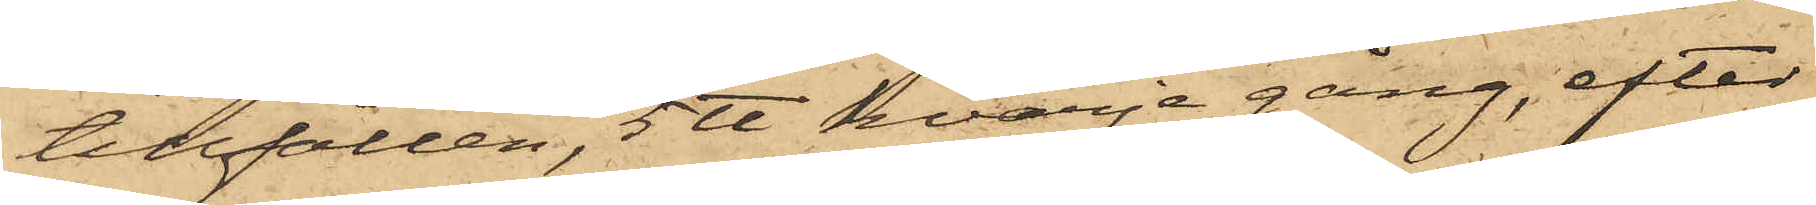tillfällen, 5 ℔ hvarje gång, efter
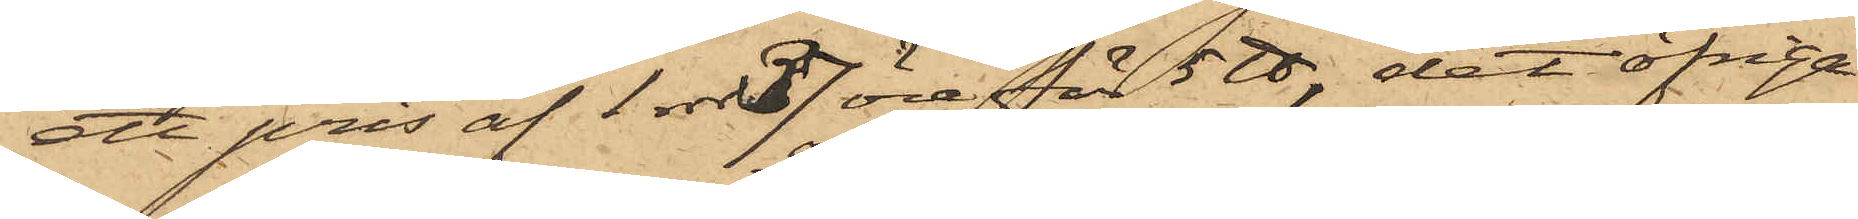att pris af 1 rdr 37 öre för 5 ℔, det öfrige
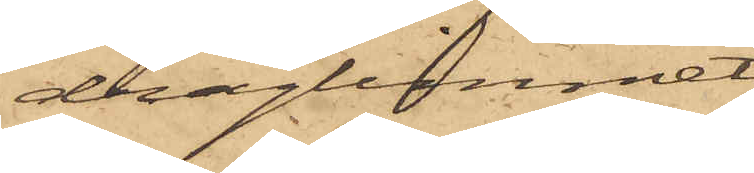draglimmet
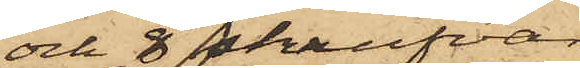och 8 skrufvar
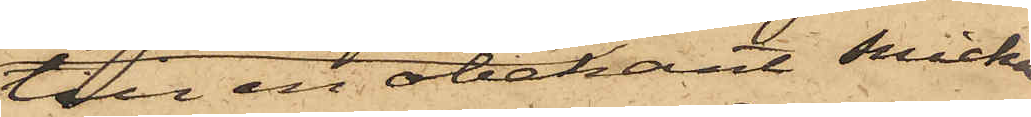till en obekant snicka¬
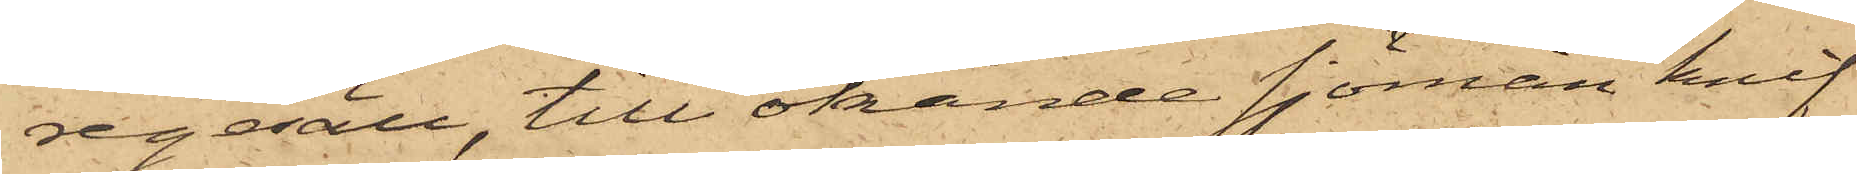regesäll, till okände sjöman knif¬
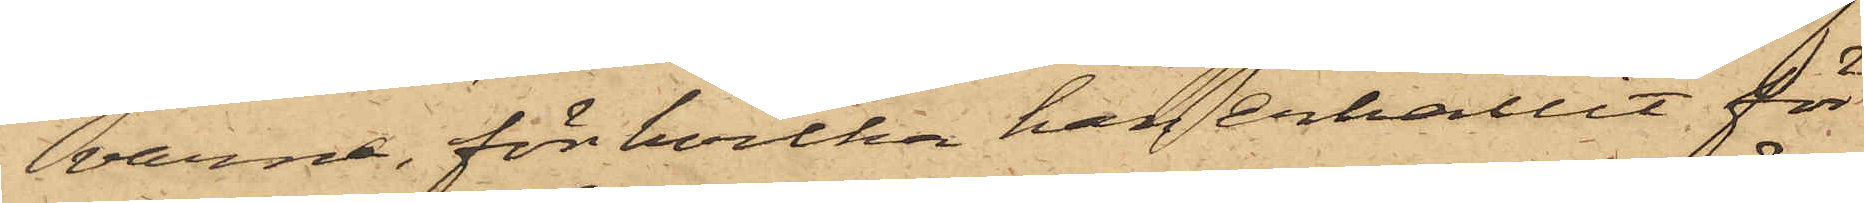varna, för hvilka han erhållit för
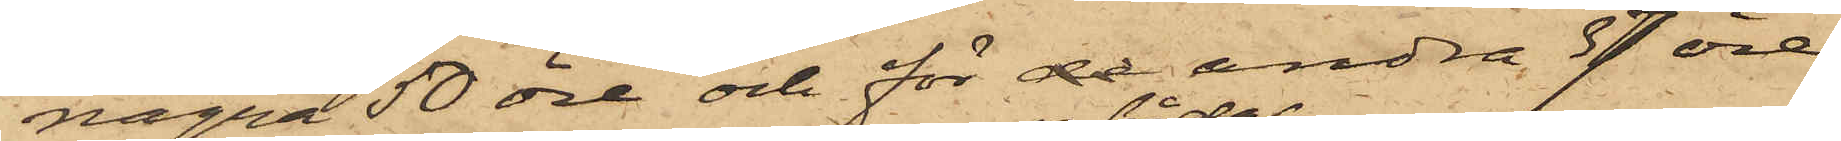några 50 öre och för de andra 37 öre
